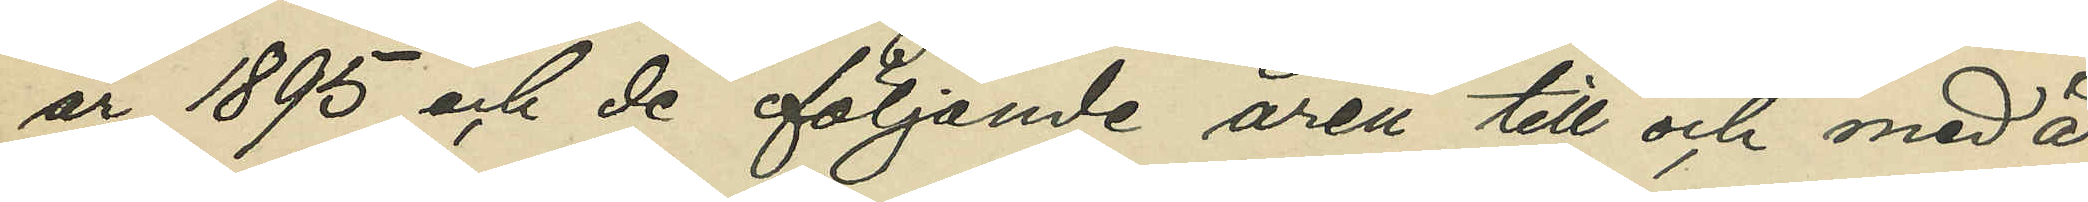år 1895 och de följande åren till och med år
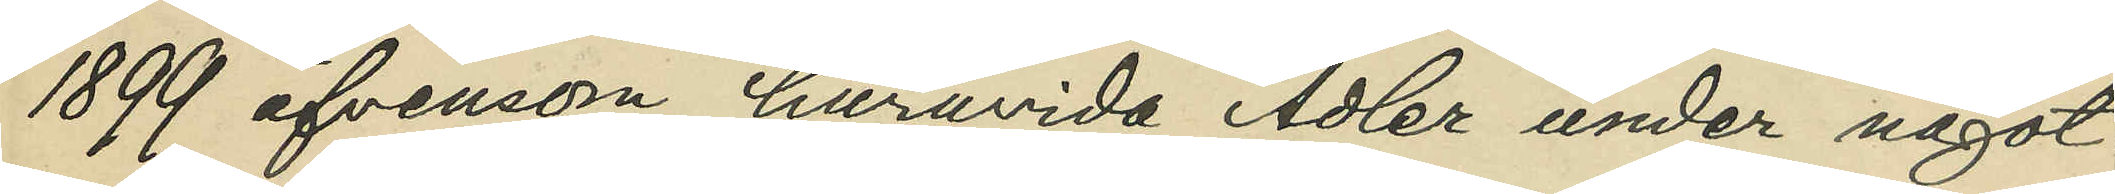1899 äfvensom huruvida Adler under något
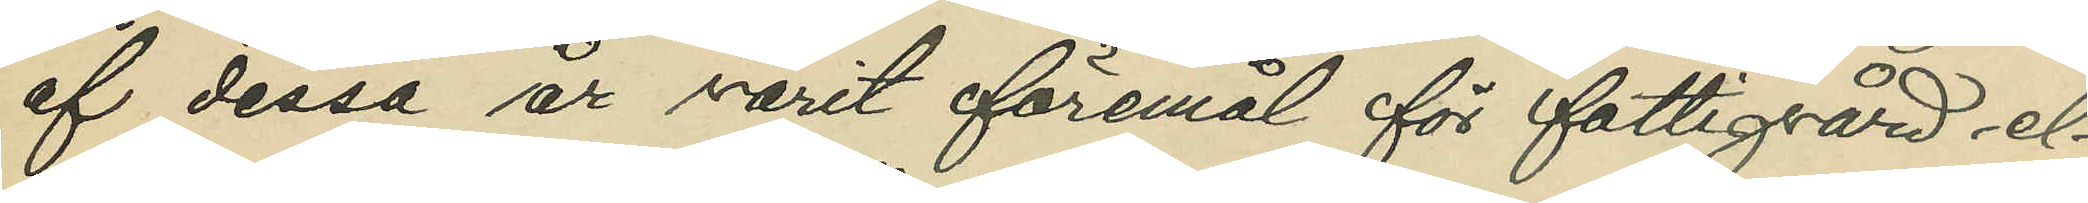af dessa år varit föremål för fattigvård el¬
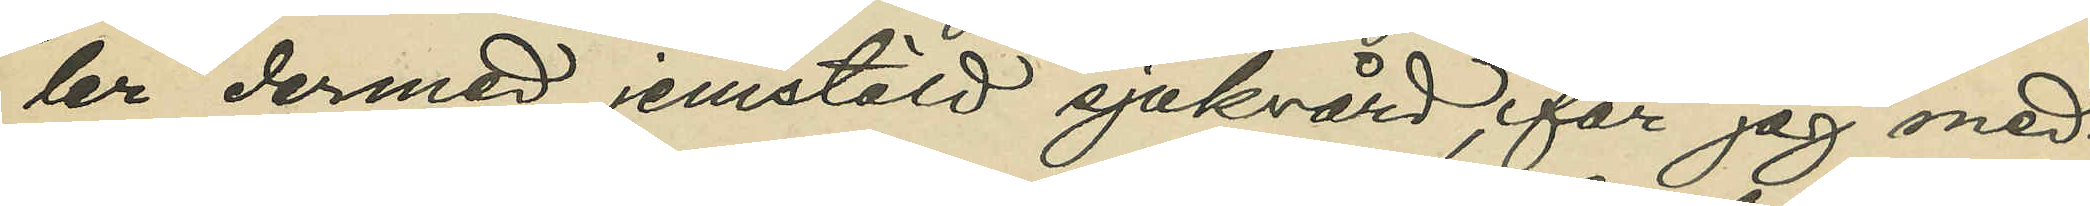ler dermed jemstäld sjukvård, får jag med¬
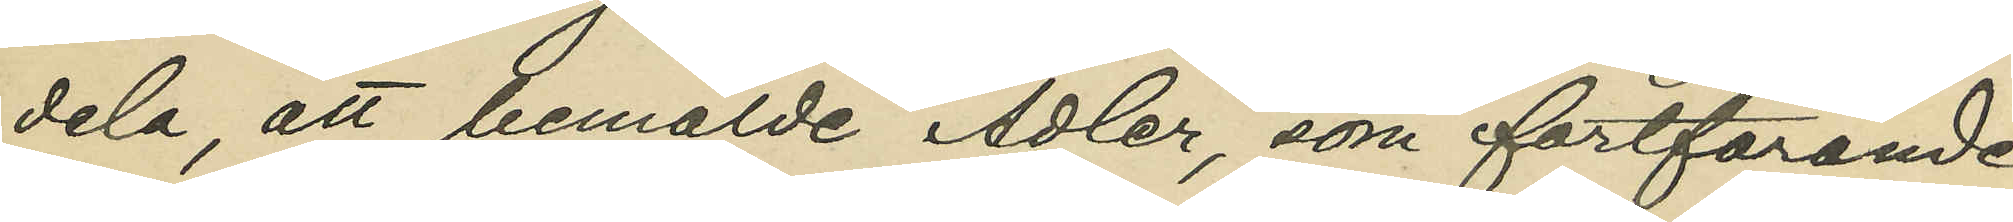del, att bemälde Adler, som fortfarande
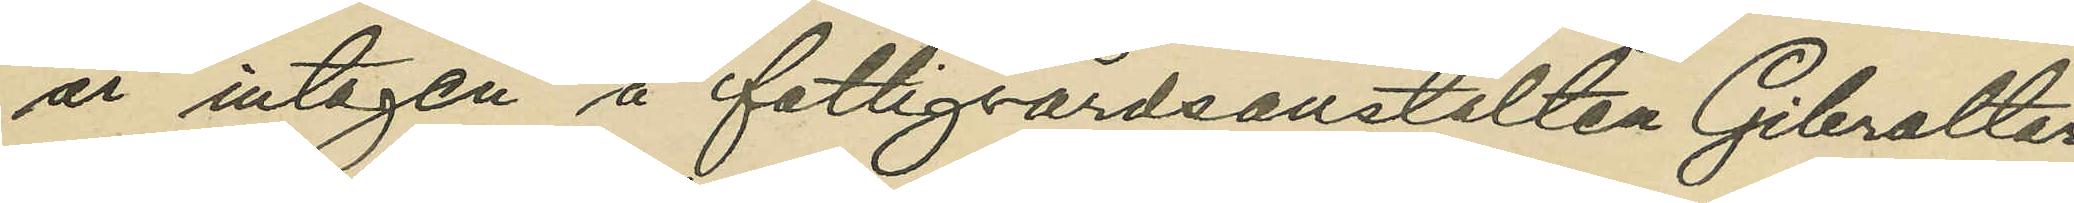är intagen å fattigvårdsanstalten Gibraltar
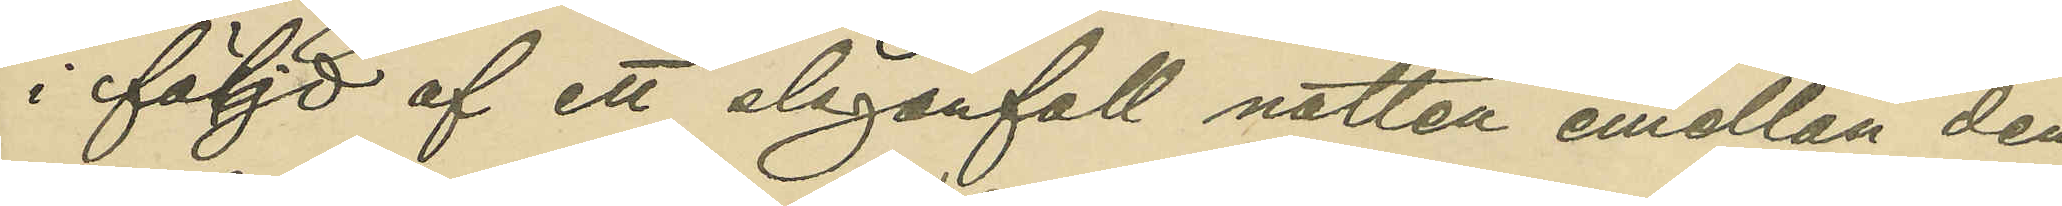i följd af ett slaganfall natten mellan den
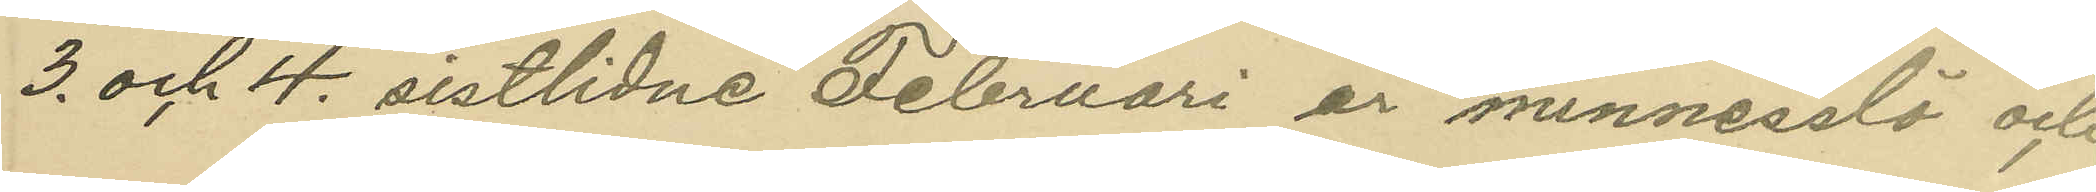3. och 4. sistlidne Februari är minnesslö och
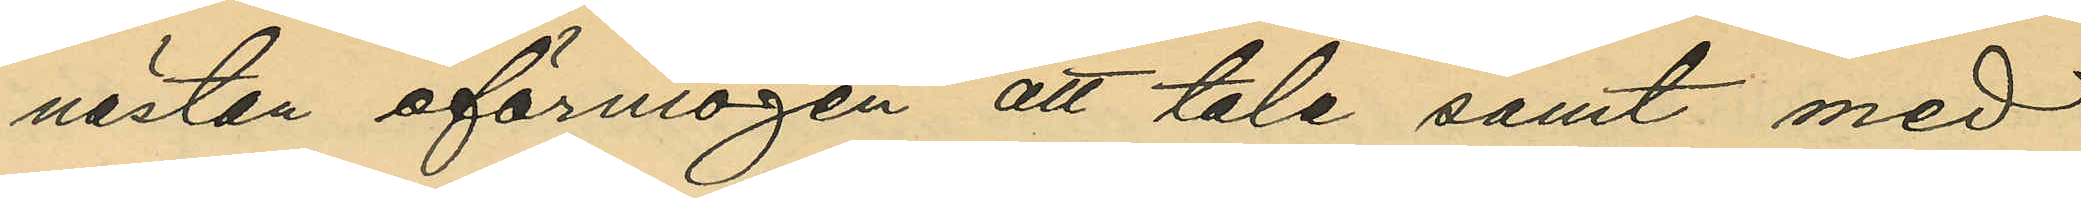nästan oförmögen att tala samt med
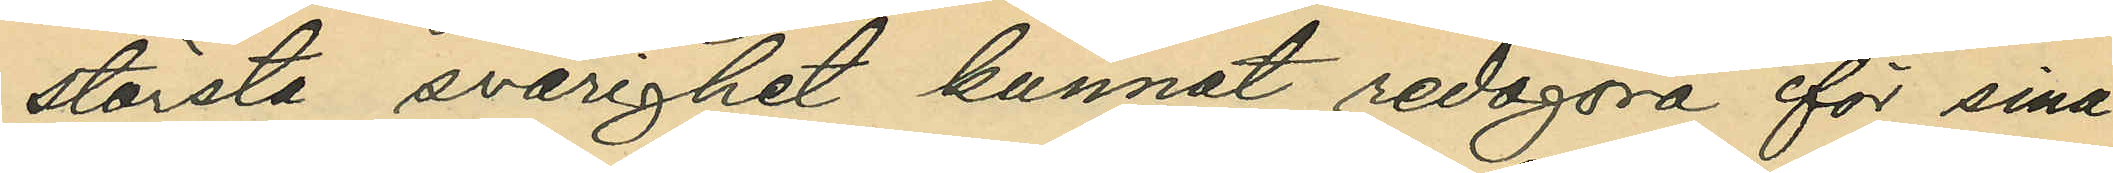största svårighet kunnat redogöra för sina
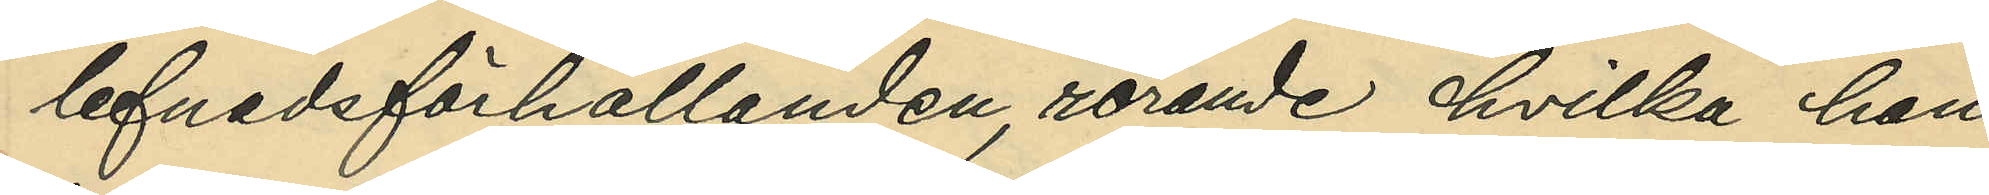lefnadsförhållanden, rörande hvilka han
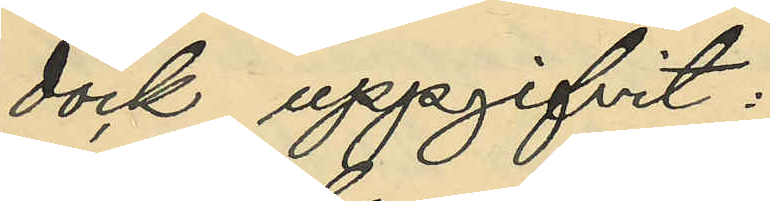dock uppgifvit:
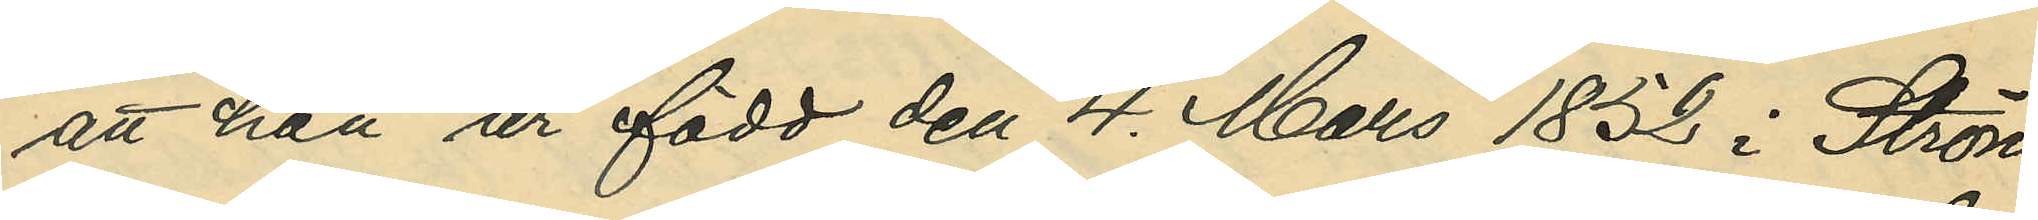att han är född den 4 Mars 1852 i Ström¬
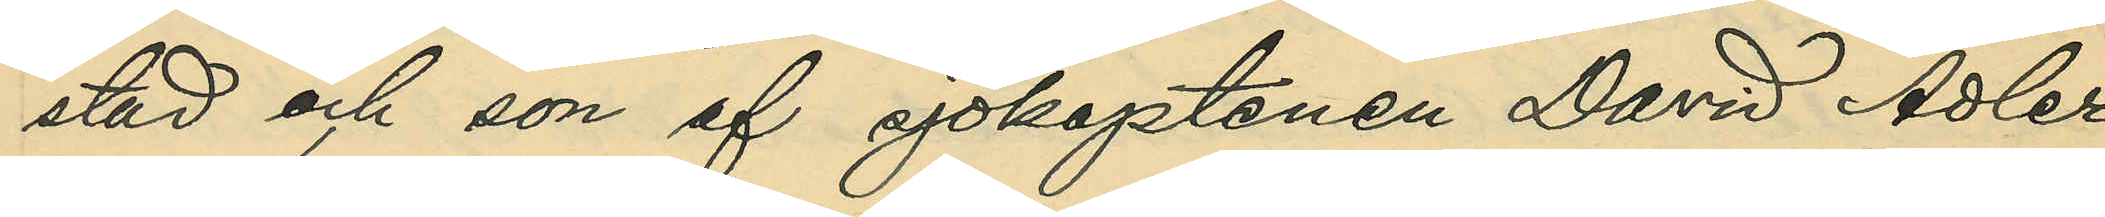stad och son af sjökaptenen David Adler
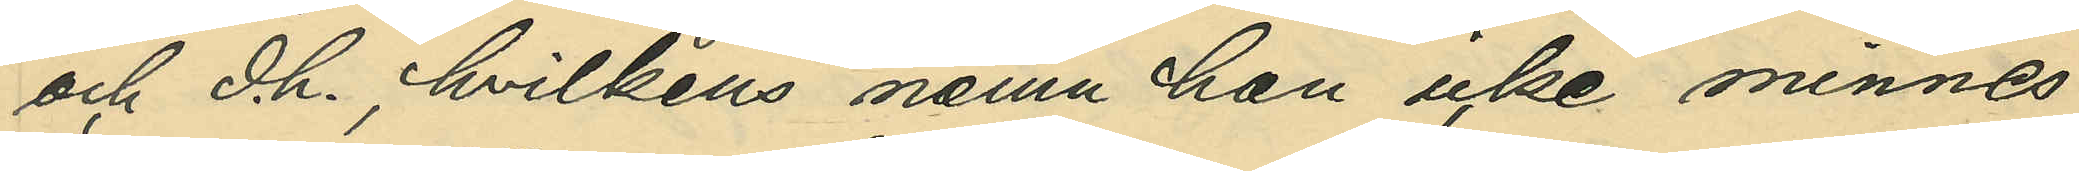och d.h., hvilkens namn han icke minnes,
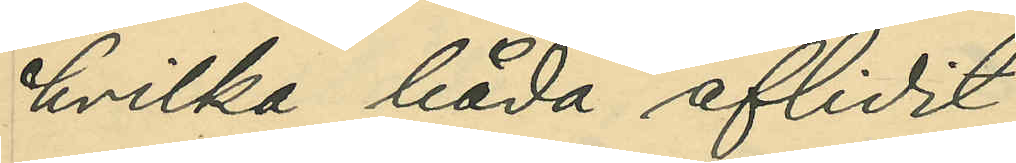hvilka båda aflidit;
